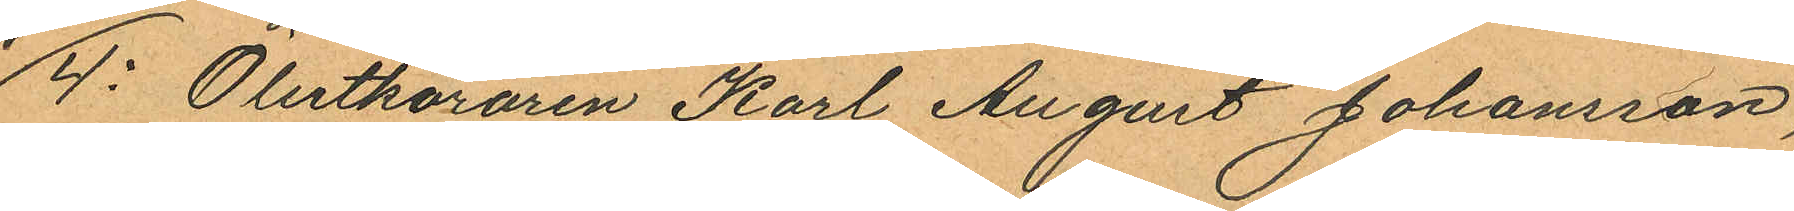4o Ölutköraren Karl August Johansson,
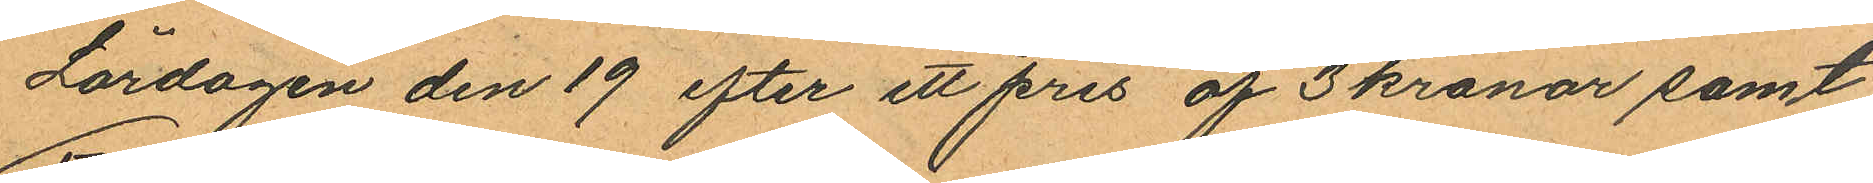Lördagen den 19 efter ett pris af 3 kronor samt
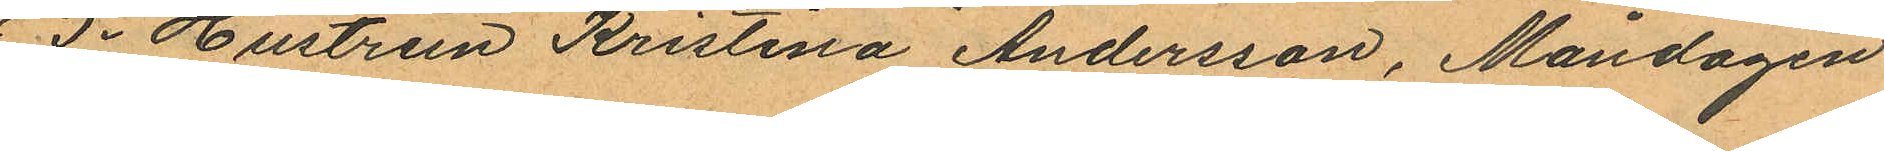5o Hustrun Kristina Andersson, Måndagen
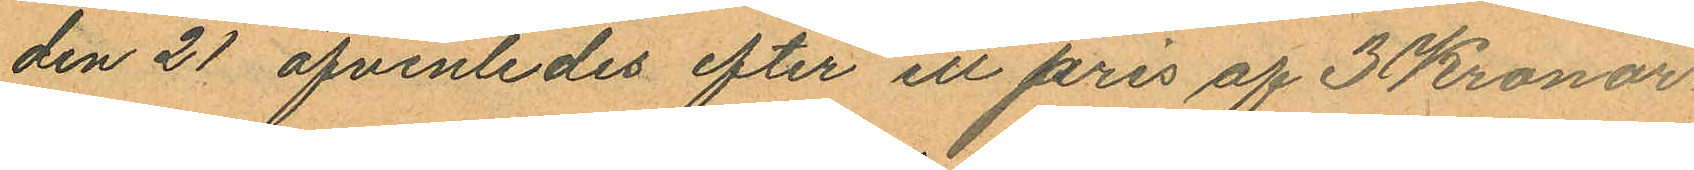den 21 äfvenledes efter ett pris af 3 Kronor.
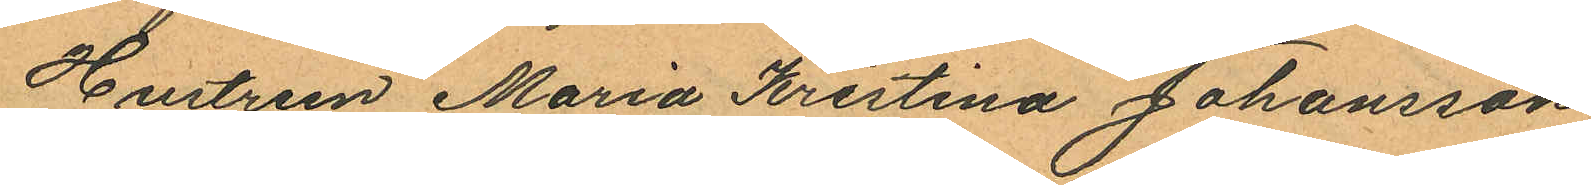Hustrun Maria Kristina Johansson
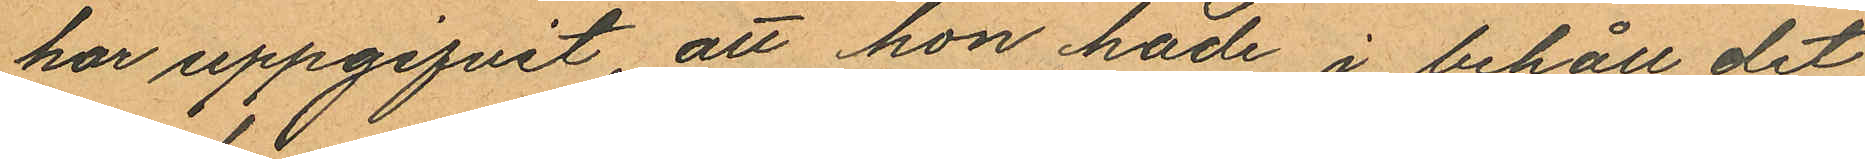har uppgifvit, att hon hade i behåll det
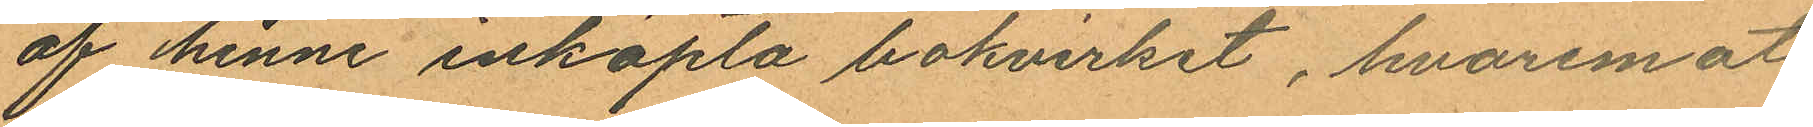af henne inköpta bokvirket, hvaremot
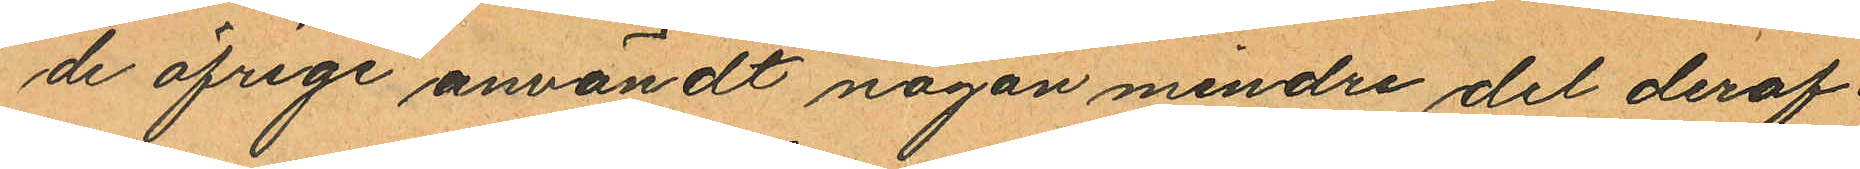de öfrige användt någon mindre del deraf.
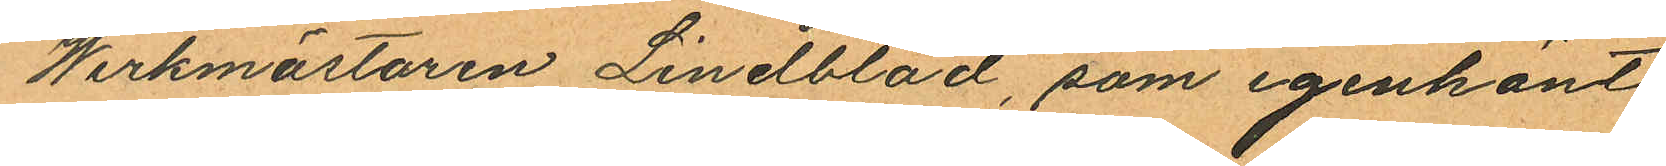Werkmästaren Lindblad, som igenkänt
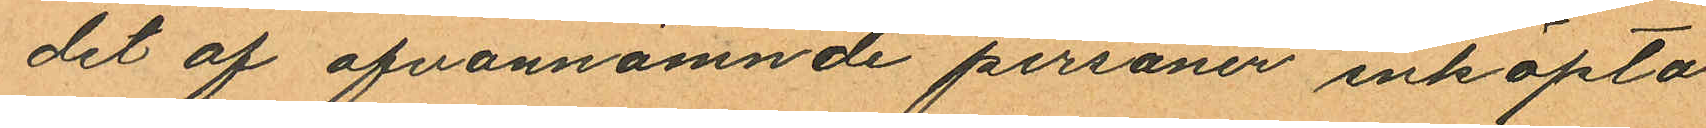det af ofvannämnde personer inköpta
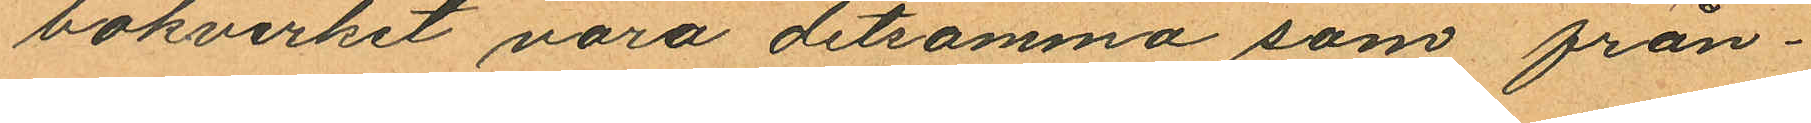bokvirket vara detsamma som från¬
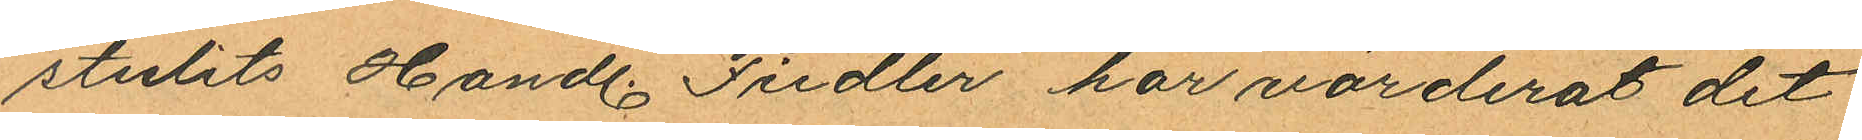stulits Handl. Fiedler har värderat det
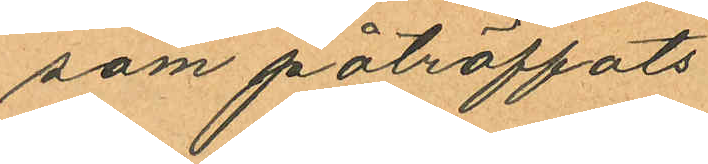som påträffats
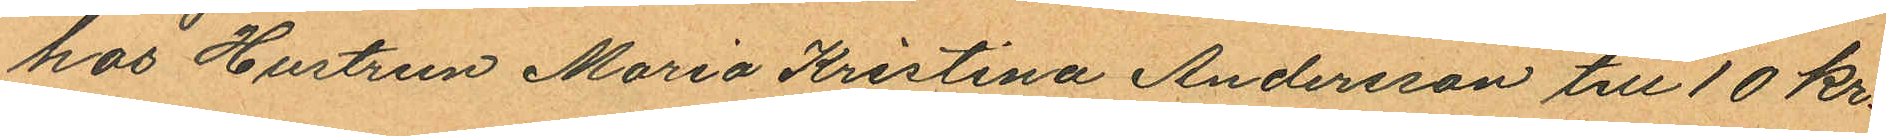hos Hustrun Maria Kristina Andersson till 10 kr.
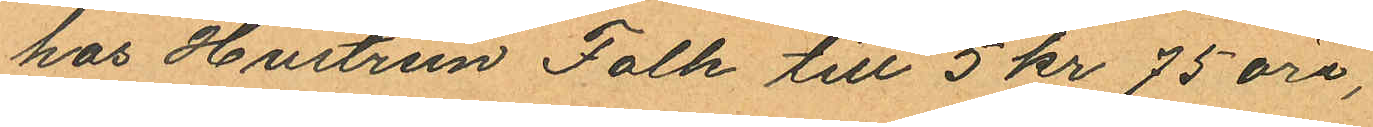hos Hustrun Falk till 5 kr 75 öre,
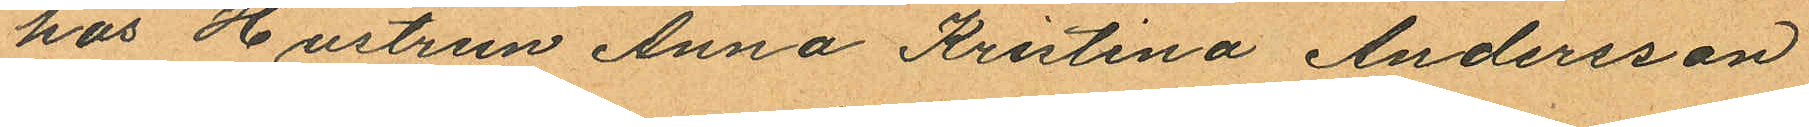hos Hustrun Anna Kristina Andersson
